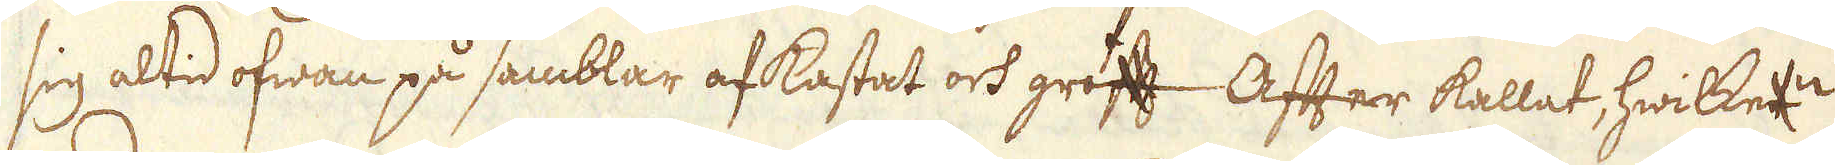sig altid ofwan på samblar afkastat och groft After kallat, hwilketn
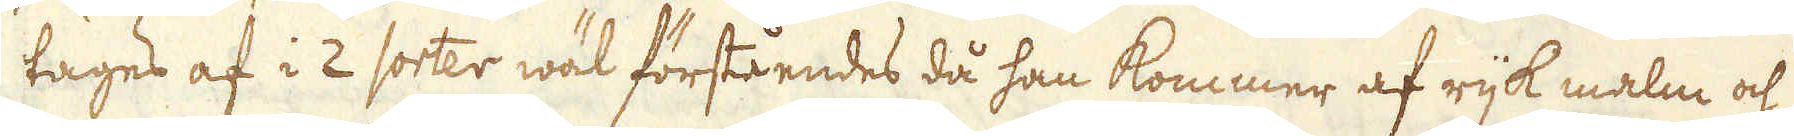tages af i 2 sorter wäl förståendes då han kommer af rijk malm och
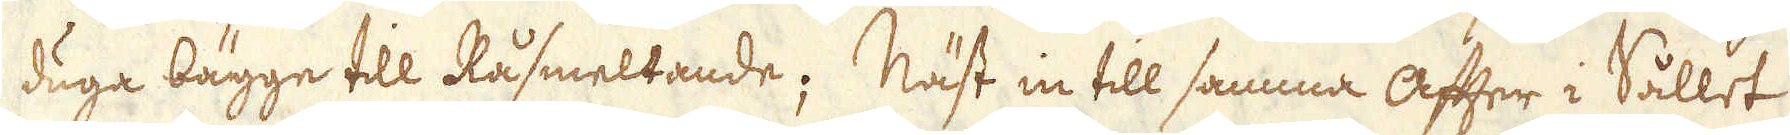duga bägge till Råsmeltande; Näst in till samma After i Sållet
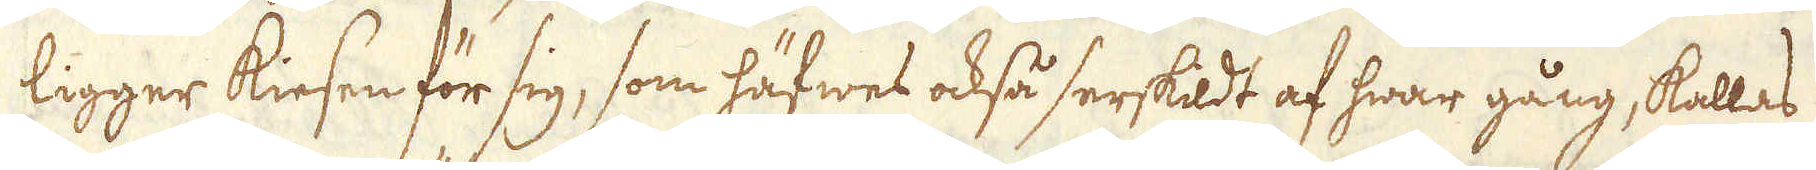ligger kiesen för sig, som häfwes också serskildt af hwar gång, kallas
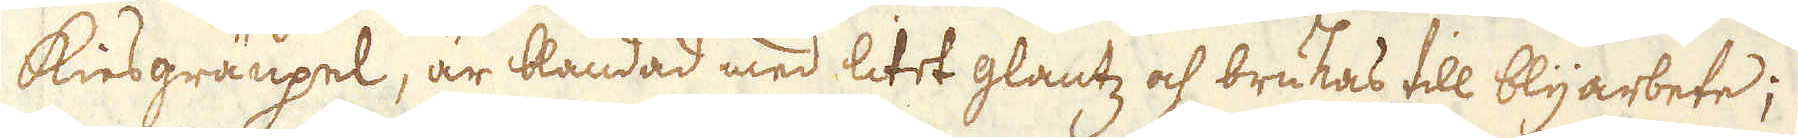kiesgräupel, är blandad med litet glantz och brukas till blyarbete;
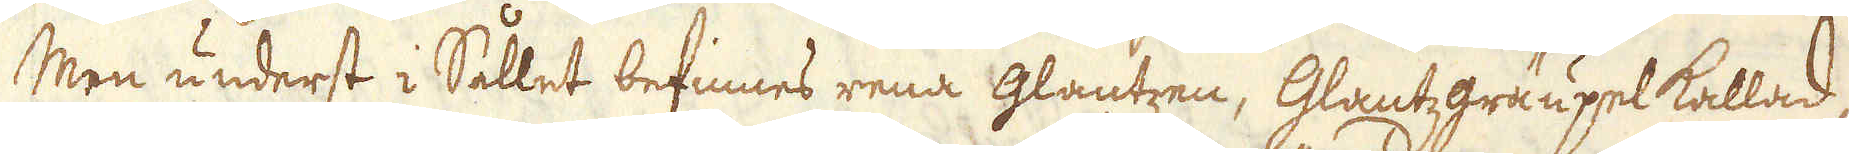Men underst i Sållet befinnes rena glantzen, Glantzgraupel kallad,
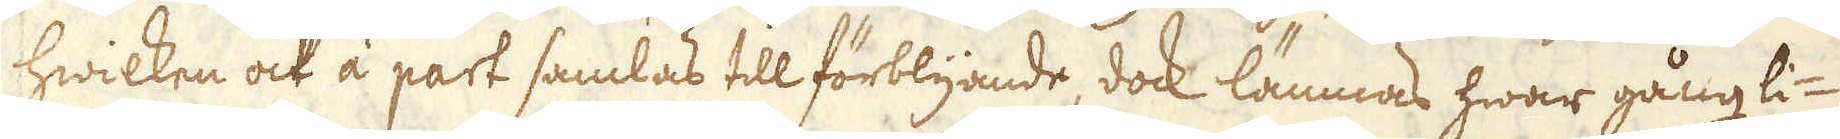hwilken ock àå part samlas till förblijande, dock lämnas hwar gång li-
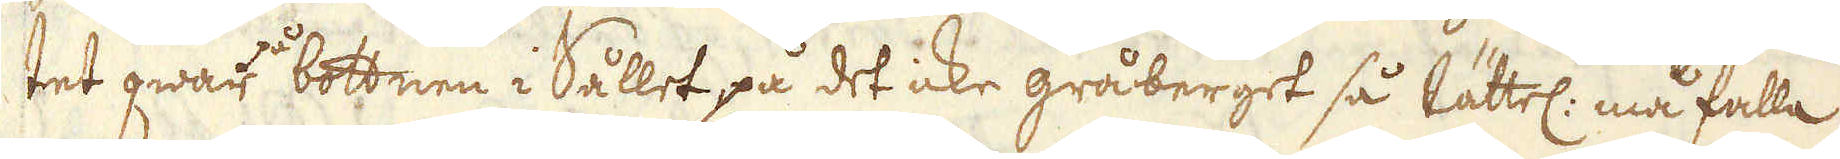tet qwar på bottnen i Sållet på det icke gråberget så lättel: må falla
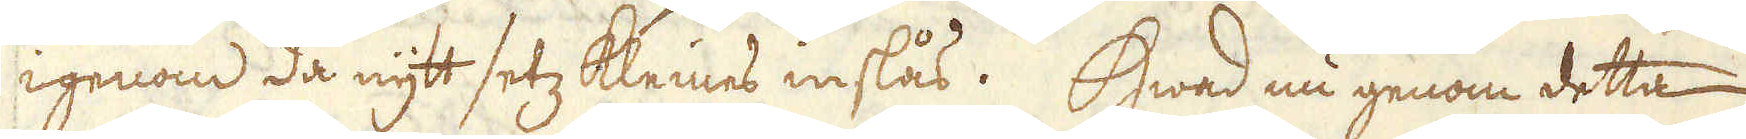igenom då nytt setz kleines inslås. Hwad nu genom detta
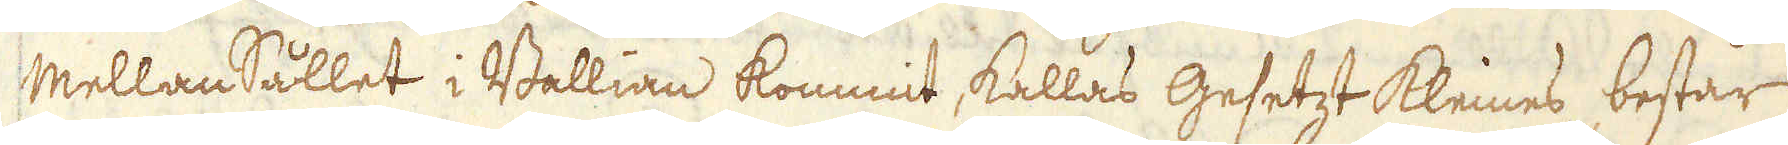Mellansållet i Ballian kommit, kallas Gesetzt kleines, består
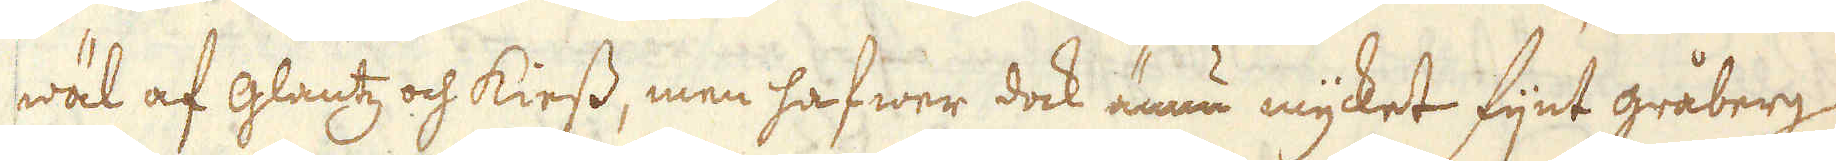wäl af glantz och kiess, men hafwer dock ännu myket fijnt gråberg
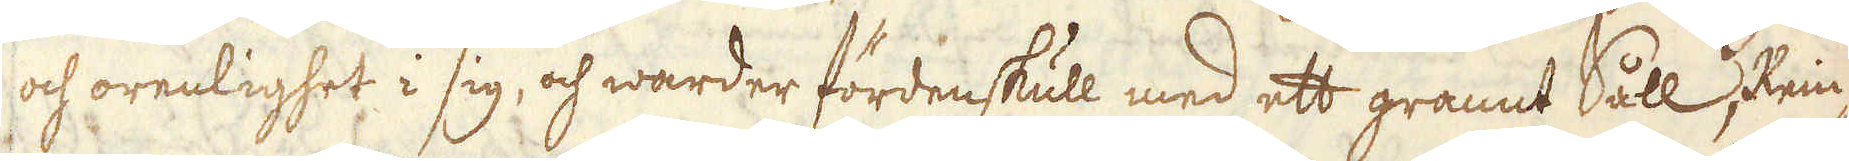och orenlighet i sig, och warder fördenskull med ett grannt Såll Rein-
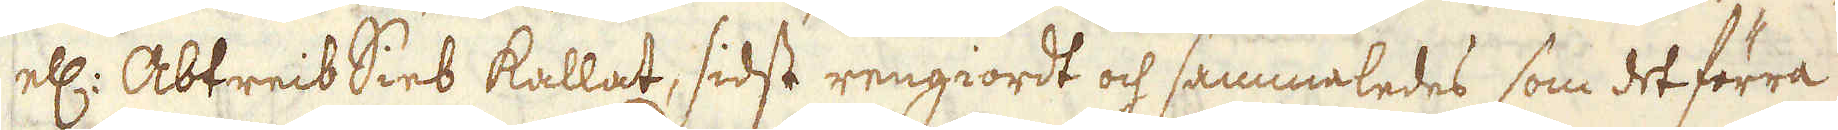ell: Abtreib Sieb kallat, sidst rengiordt och sammaledes som det förra
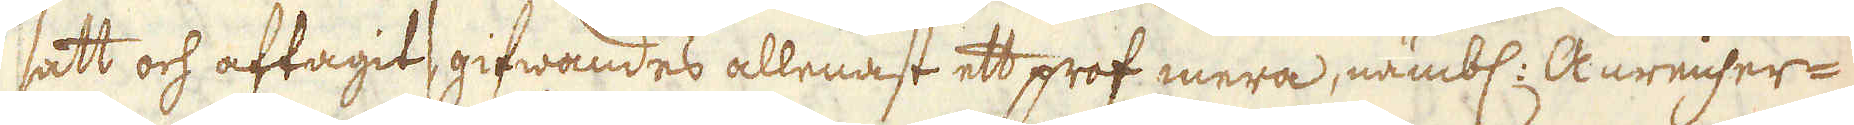satt och aftagits gifwandes allenast ett prof mera, nämbl. Anrnicher-
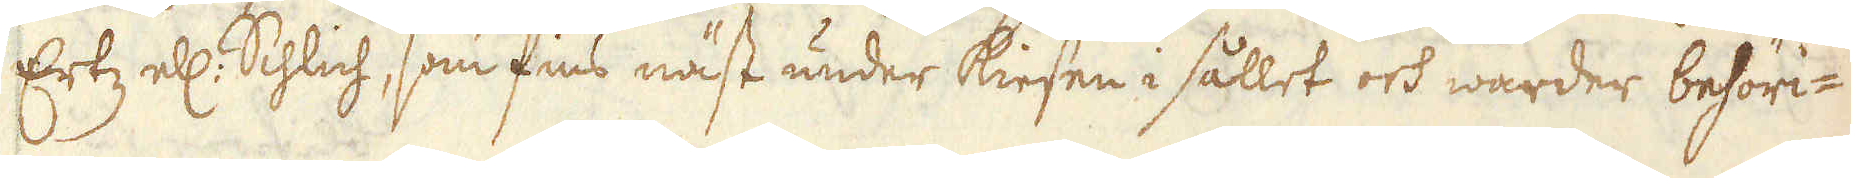Ertz el: Schlich, som fins näst under kiesen i sållet och warder behöri-
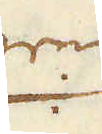gen
